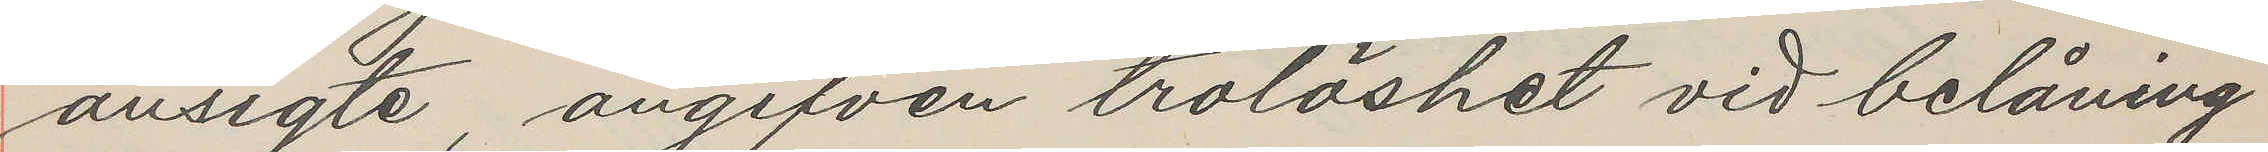ansigte, angifven trolöshet vid belåning
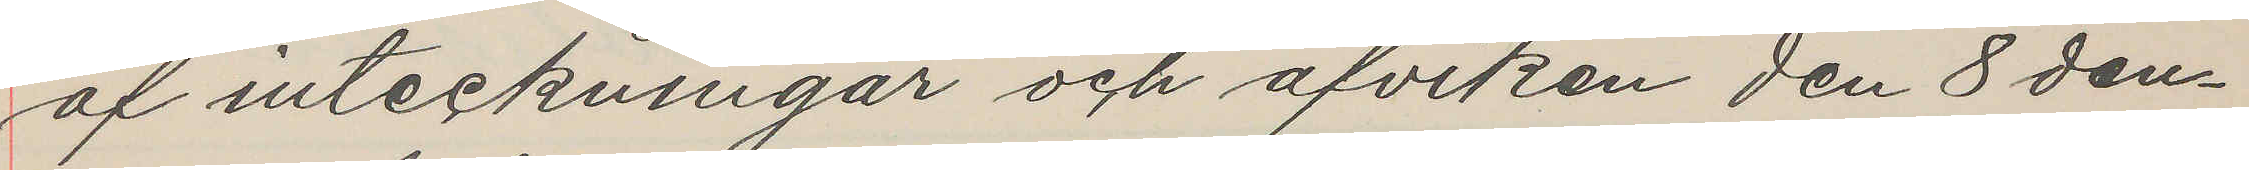af inteckningar och afviken den 8 den¬
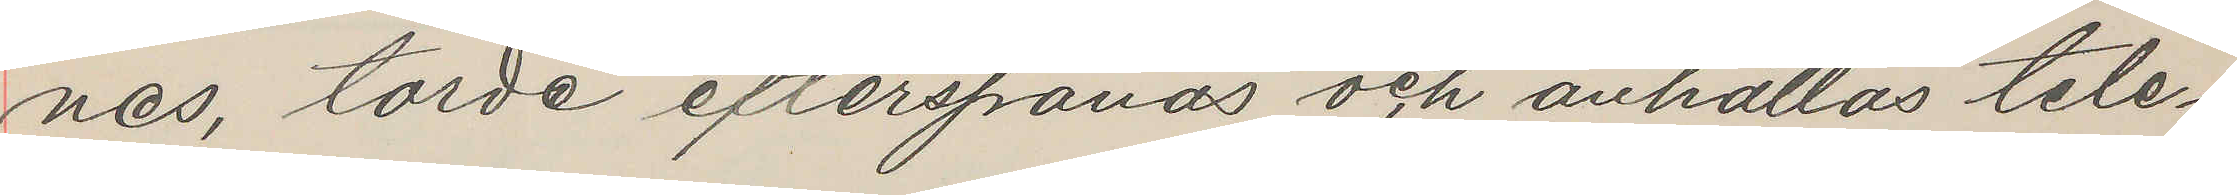nes, torde efterspanas och anhållas tele¬
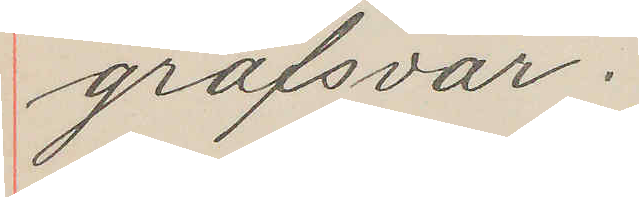grafsvar.
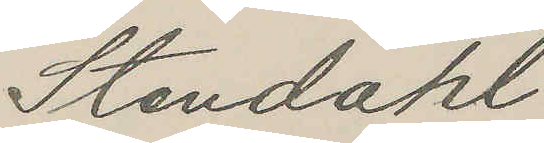Stendahl
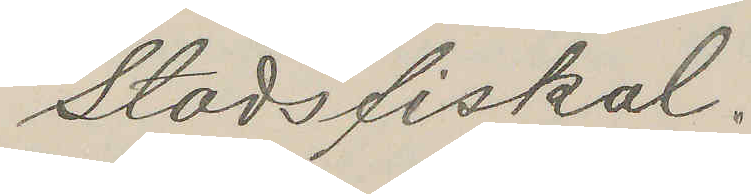Stadsfiskal.
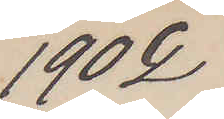1902
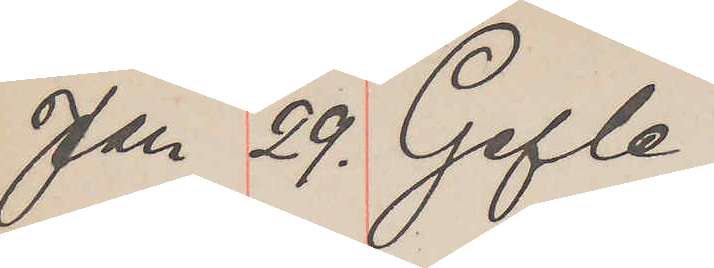Jan 29. Gefle
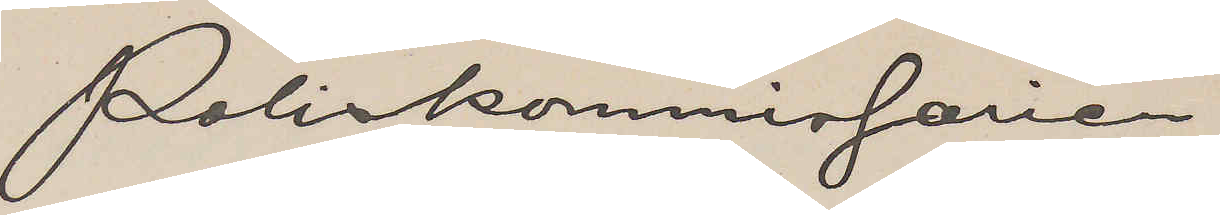Poliskommissarien
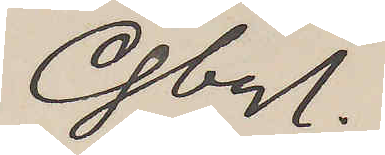Gbg.
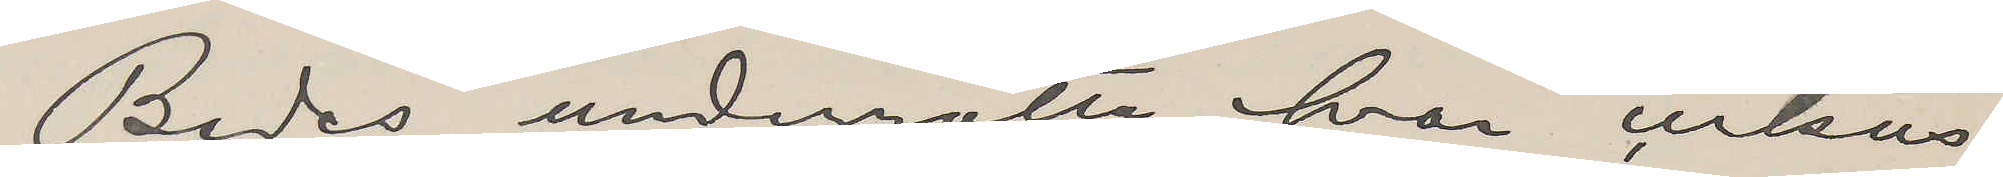Bedes underrätta hvar cirkus
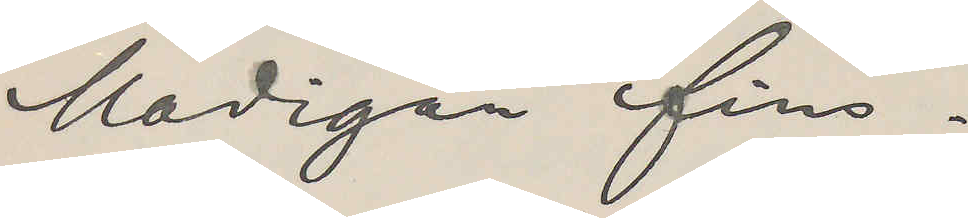Madigan fins.
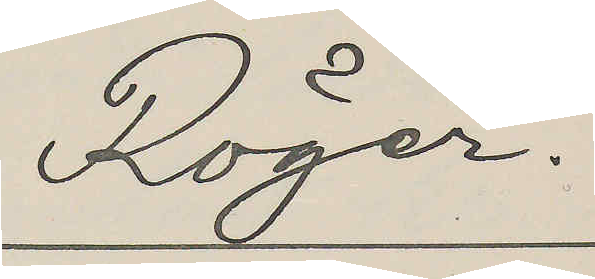Röger.
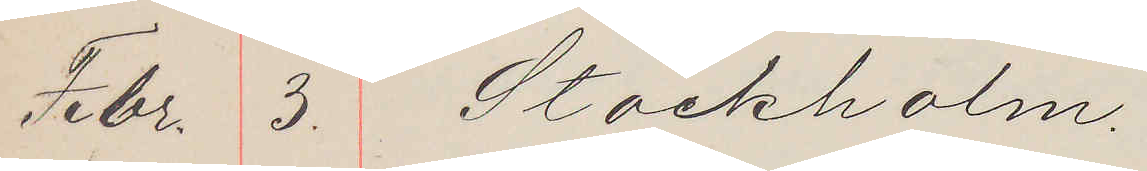Febr. 3. Stockholm.
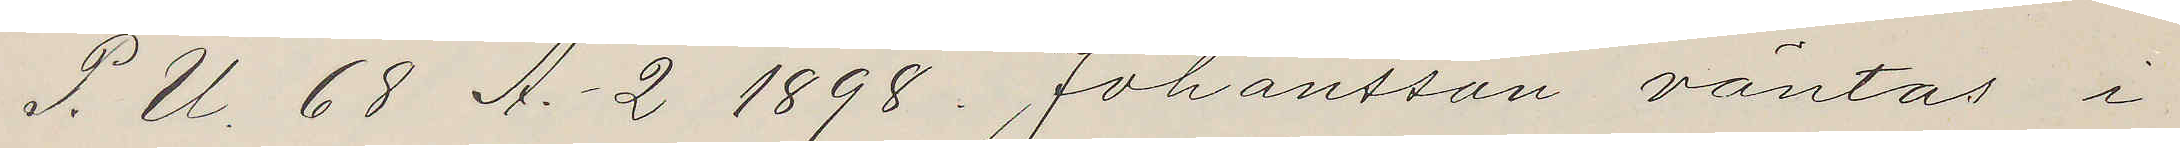P. U. 68 A.- 2 1898. Johansson väntas i
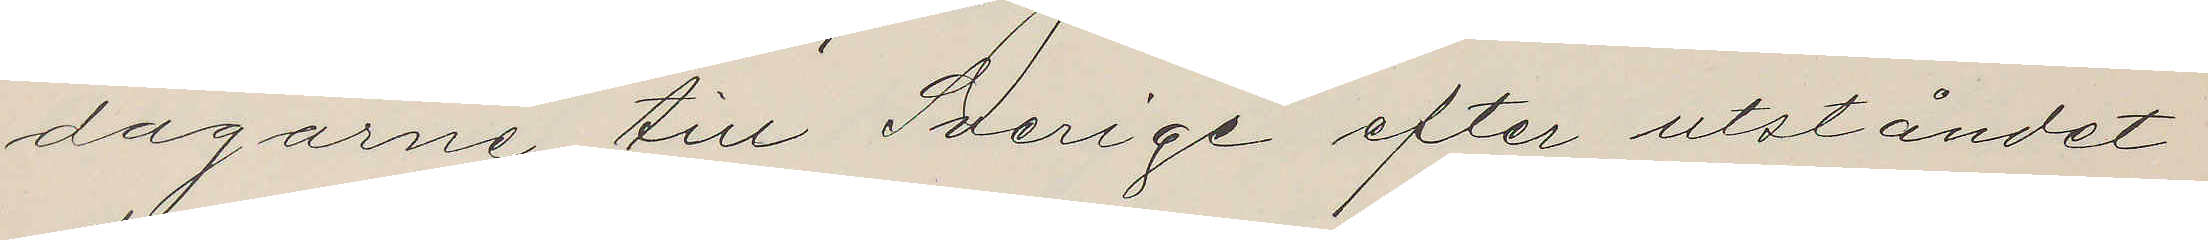dagarne till Sverige efter utståndet
